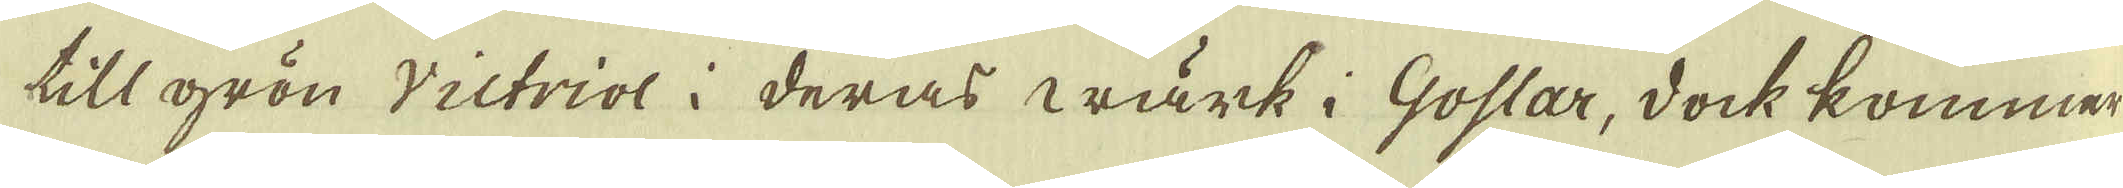till grön Victriol i deras wärk i Goslar, dock kommer
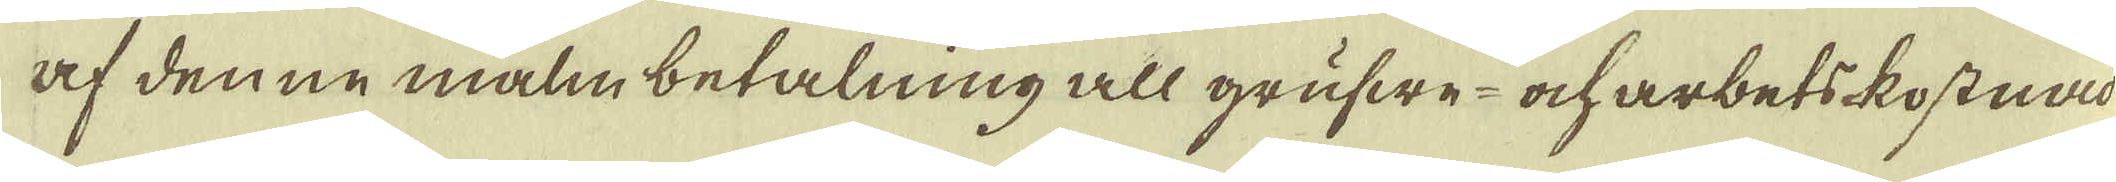af denne malm betalning all grufwe- ock arbets-kostnad
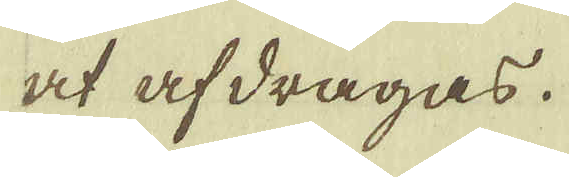at afdragas.
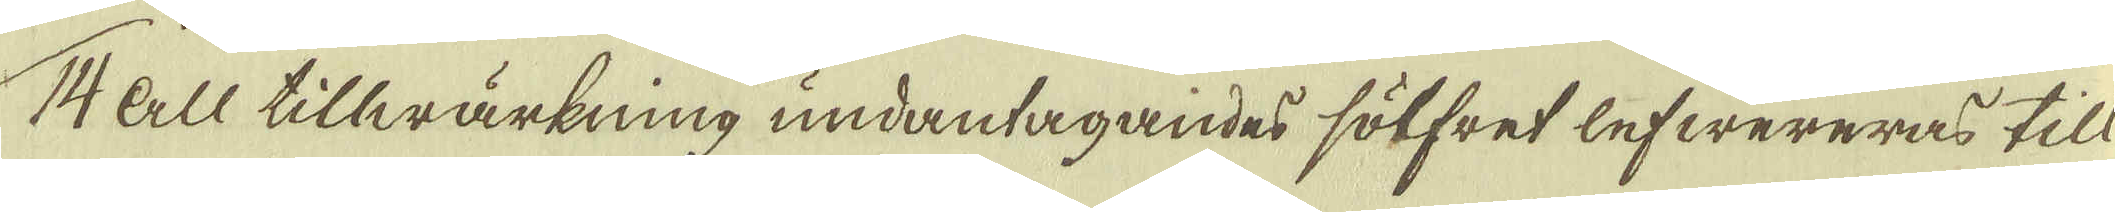14 All tillwärkning undantagandes sölfret lefwereras till
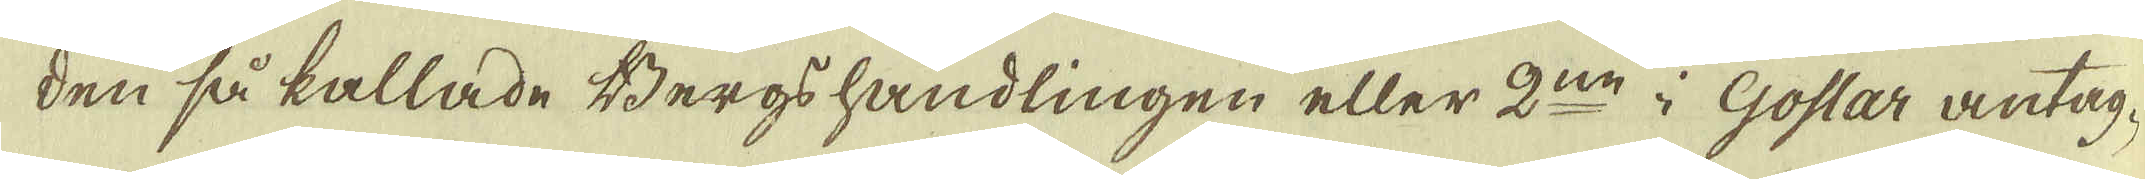den så kallade Bergs handlingen eller 2:ne i Goslar antag-
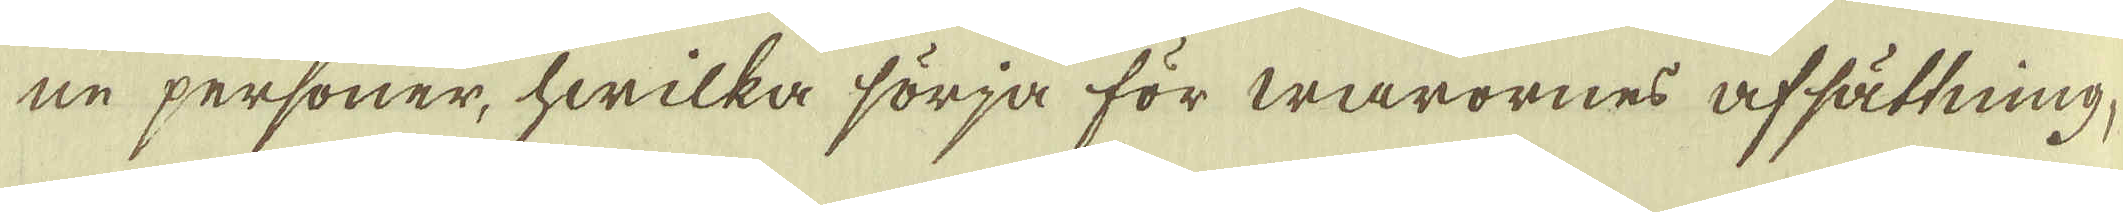ne personer, hwilka sörja för warornes afsättning,
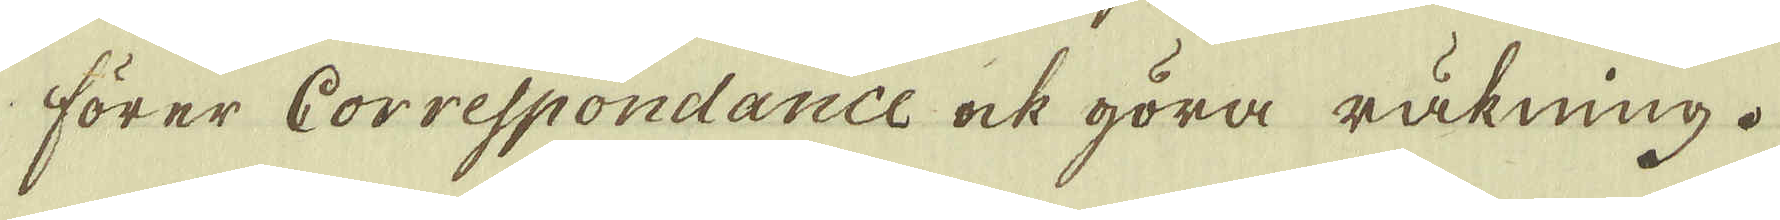förer Correspondance ock göra räkning.
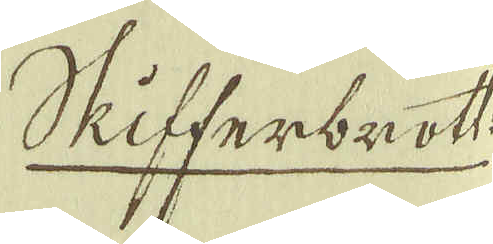Skifferbrott:
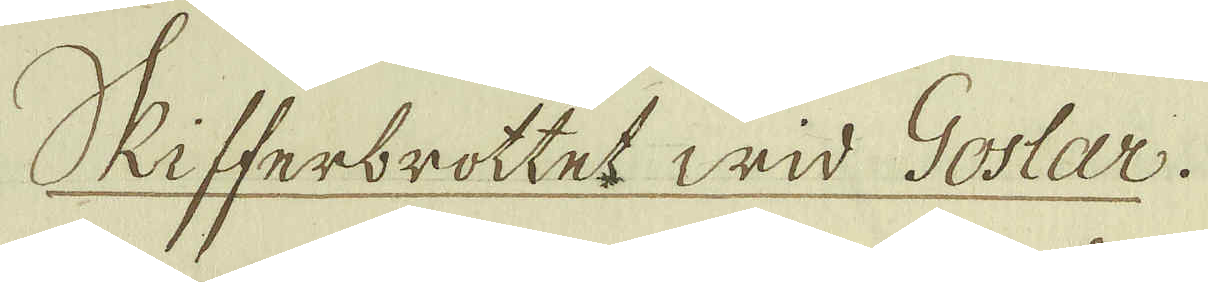Skifferbrottet wid Goslar.
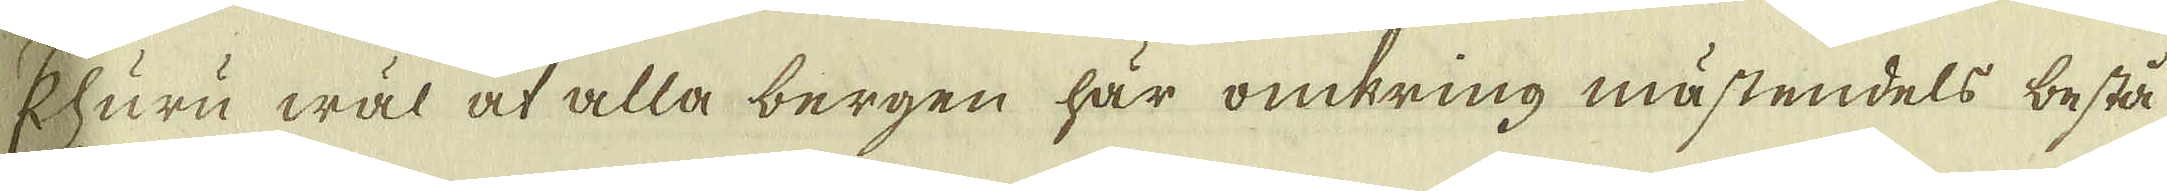Ehuru wäl at alla bergen här omkring mästendels bestå
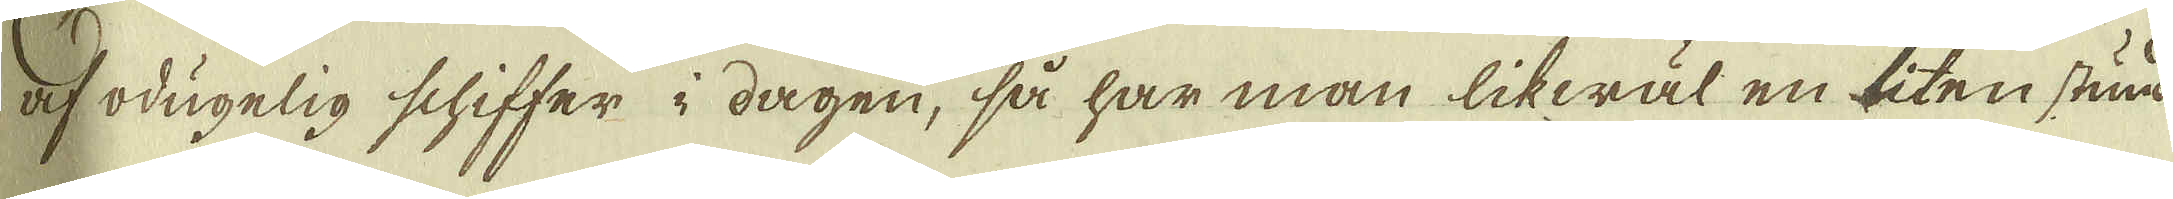af odugelig schiffer i dagen, så har man likwäl en liten stund
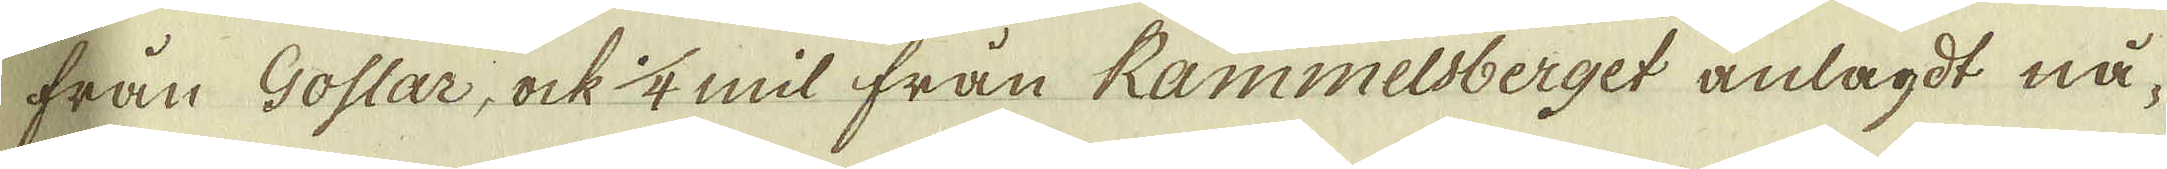från Goslar, ock 1/4 mil från Rammelsberget anlagdt nå-
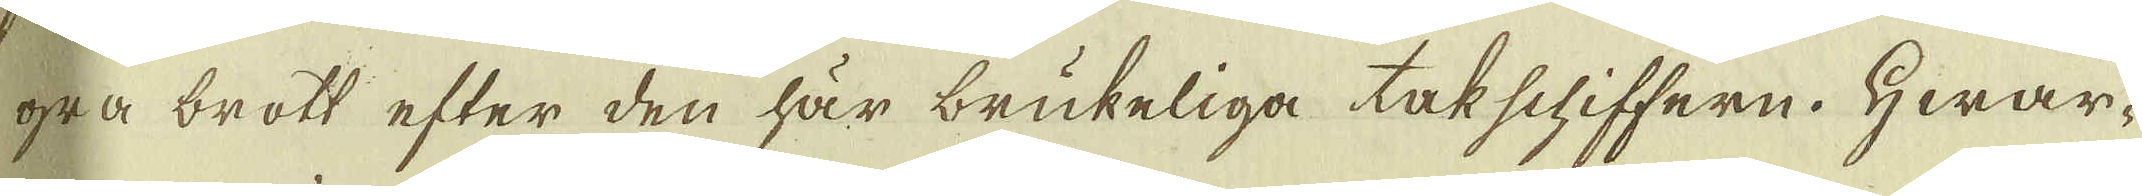gra brott efter den här brukeliga takschiffern. Hwar-
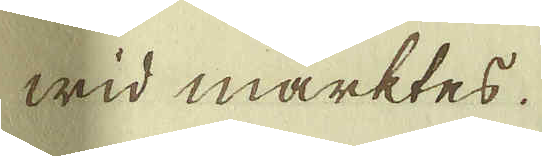wid märktes.
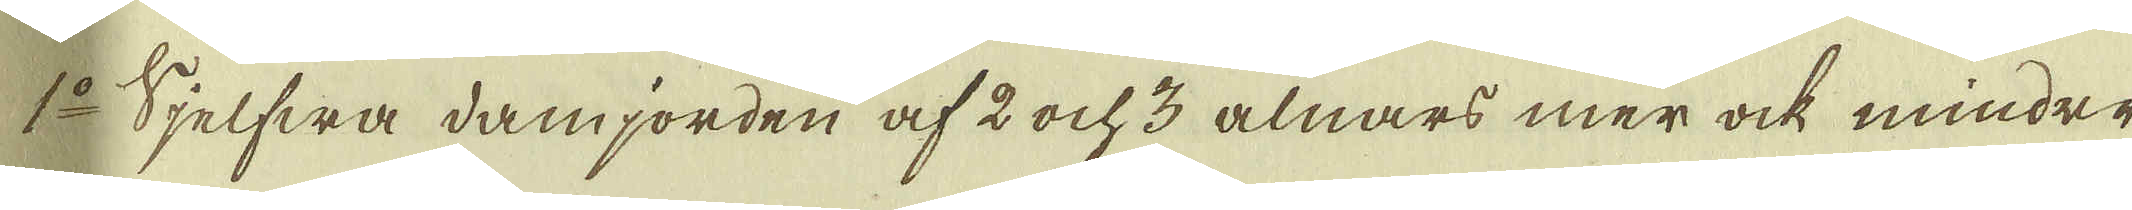1:o Sjelfwa damjorden af 2 ock 3 alnars mer ock mindre
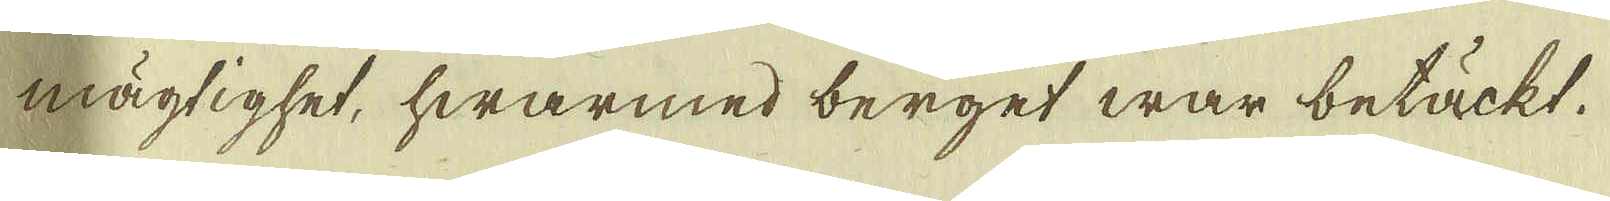mägtighet, hwarmed berget war betäckt.
